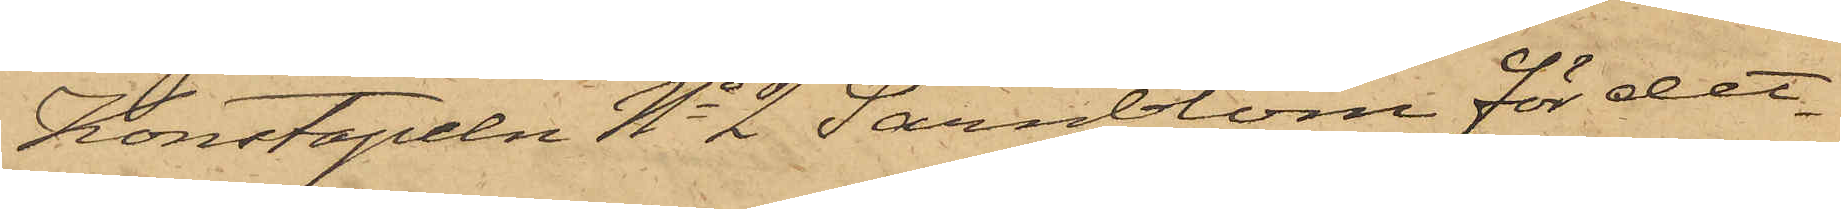Konstapeln No 2 Särnblom för det¬
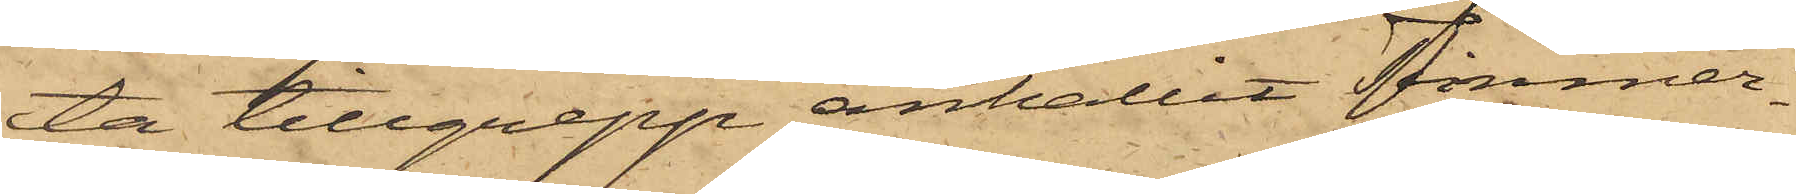ta tillgrepp anhållit Timmer¬
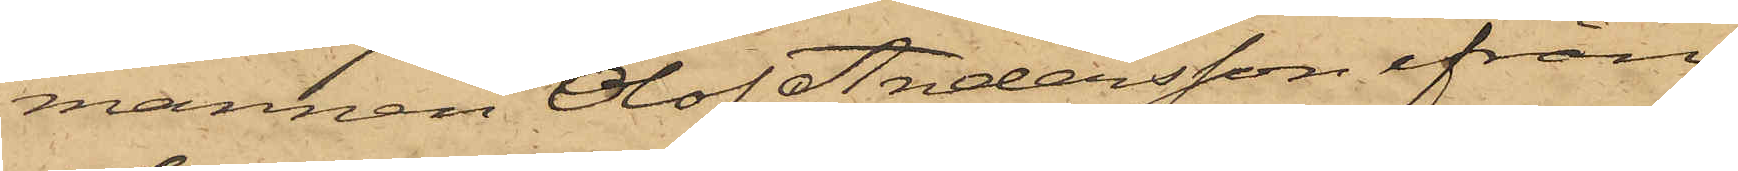mannen Olof Andersson ifrån
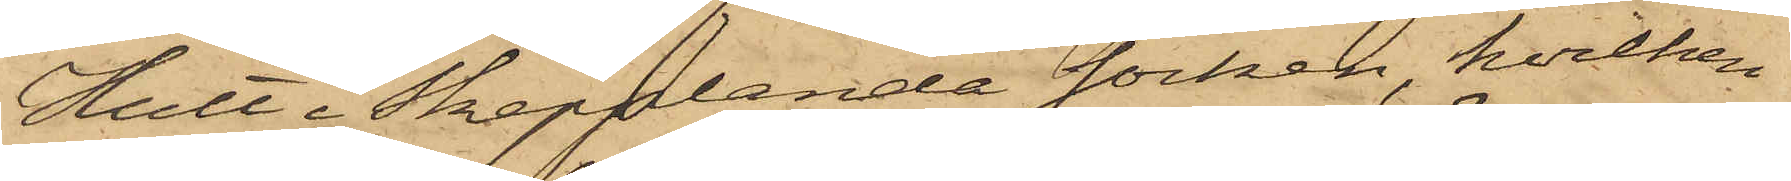Hult i Skepplanda socken, hvilken
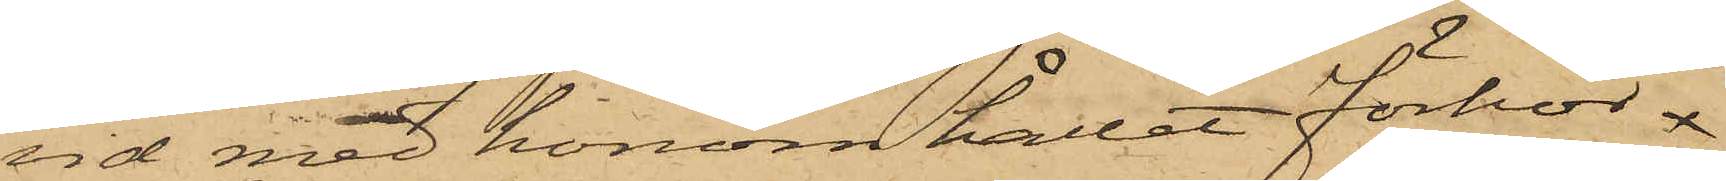vid med honom hållit förhör
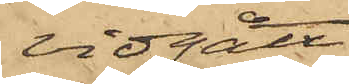vidgått,
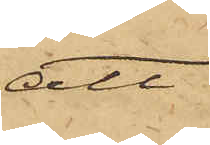att
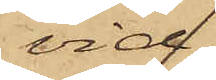vid
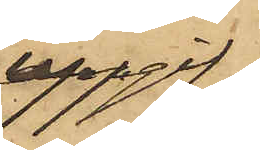uppgif¬
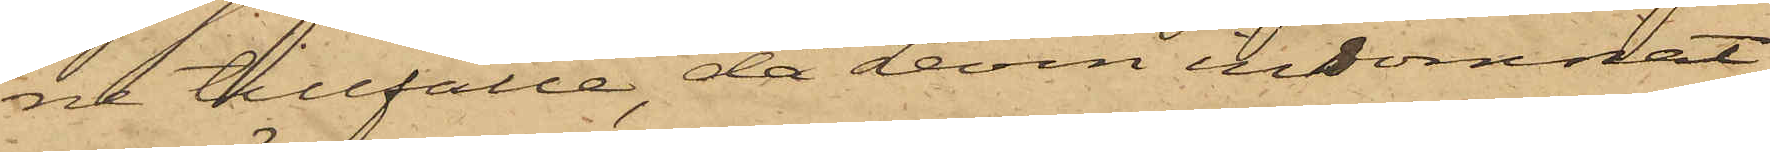ne tillfälle, då Levin insomnat
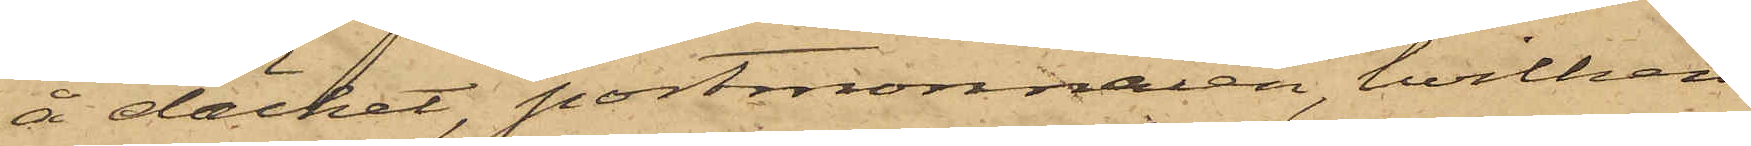å däcket, portmonnaien, hvilken
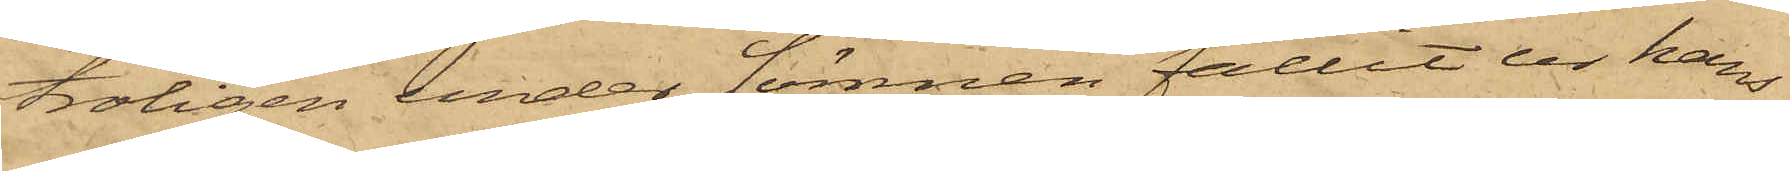troligen under sömnen fallit ur hans
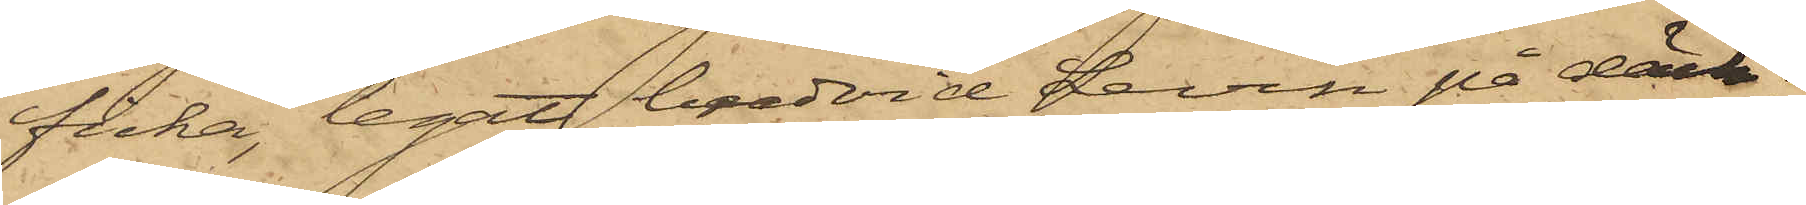ficka, legat bredvid Levin på däck;
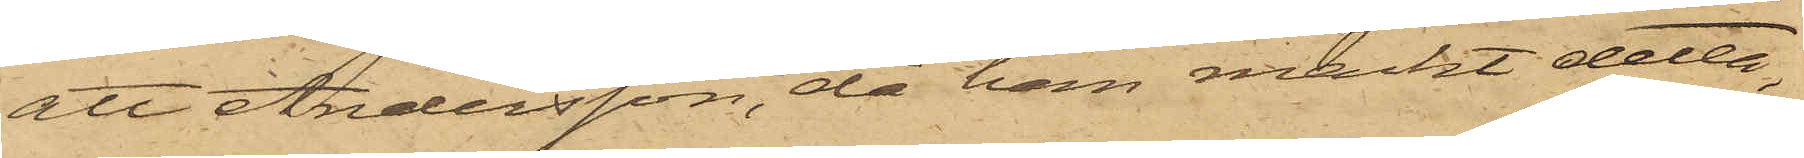att Andersson, då han märkt detta,
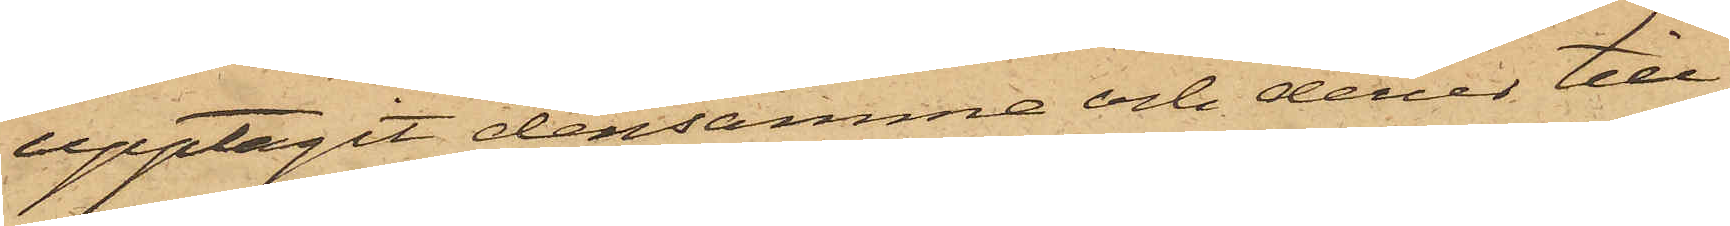upptagit densamma och derur till¬
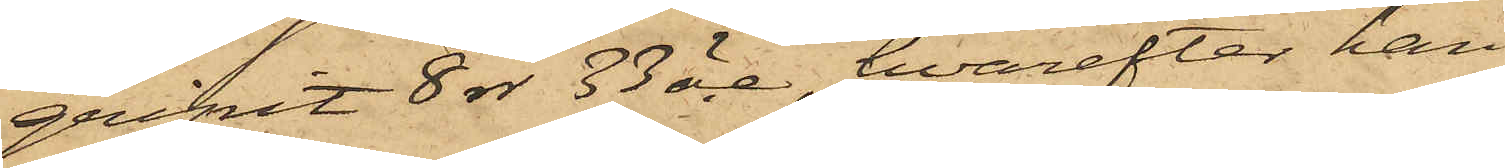gripit 8 rdr 33 öre, hvarefter han
